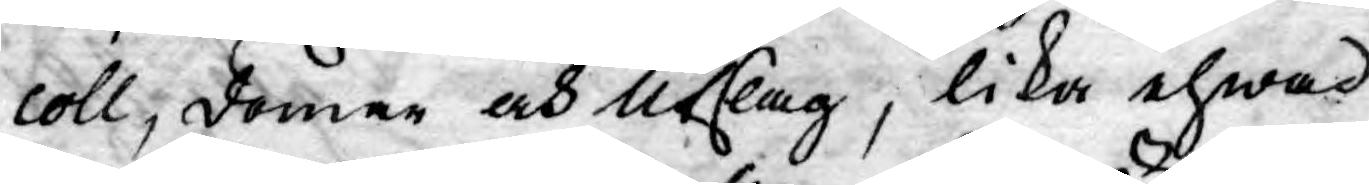coll; domar och Utslag, lika ehwad
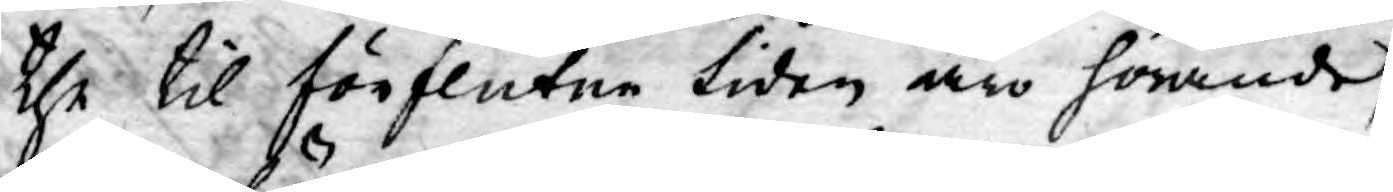the til förflutne tiden äro hörande,
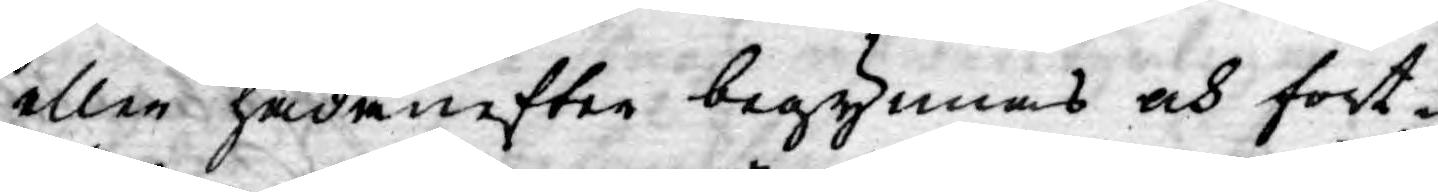eller hädanefter begynnas och fort¬
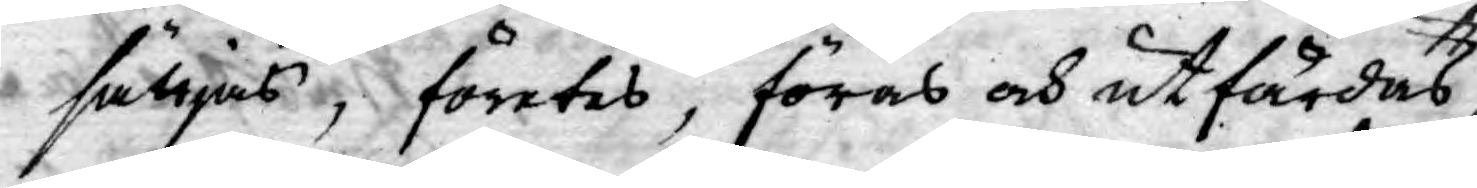sättjas; företes, föras och utfärdas,
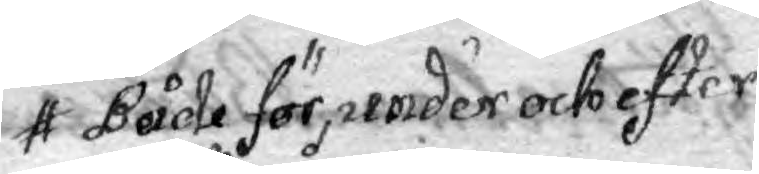Både för, under och efter
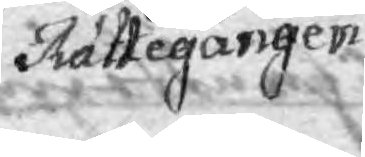Rättegången
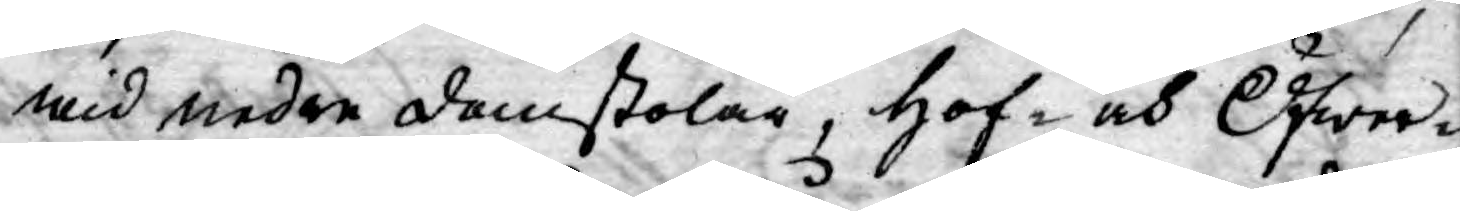wid nedre domstolar, Hof- och Öfwer¬
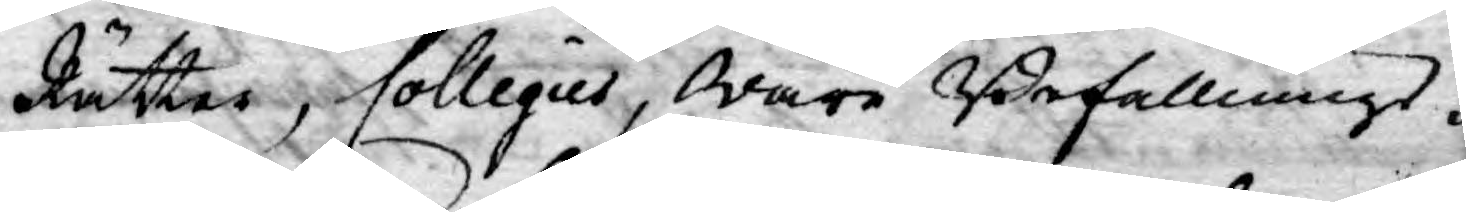Rätter, Collegier, wåre Befallnings¬
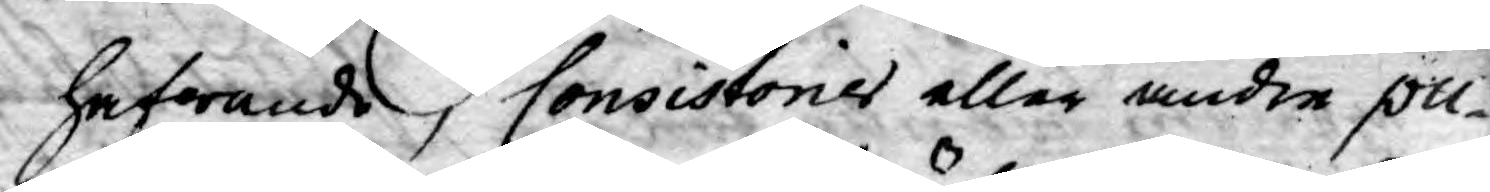hafwande, Consistorier eller andre pu¬
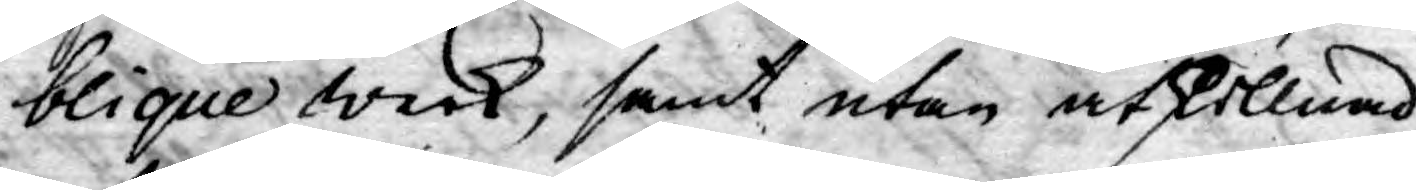blique werk, samt utan åtskillnad
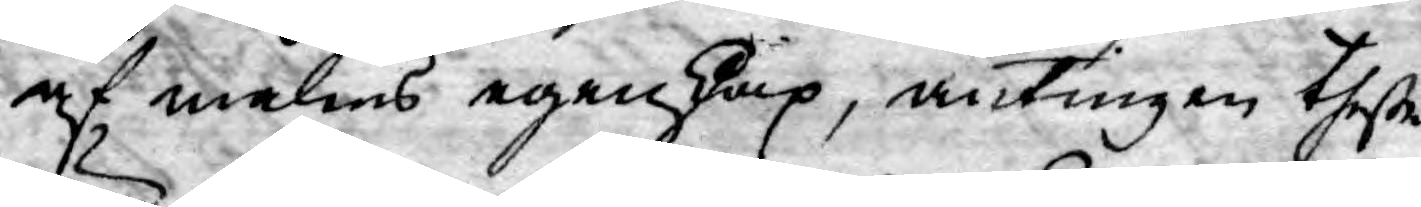af målens egenskap, antingen theße
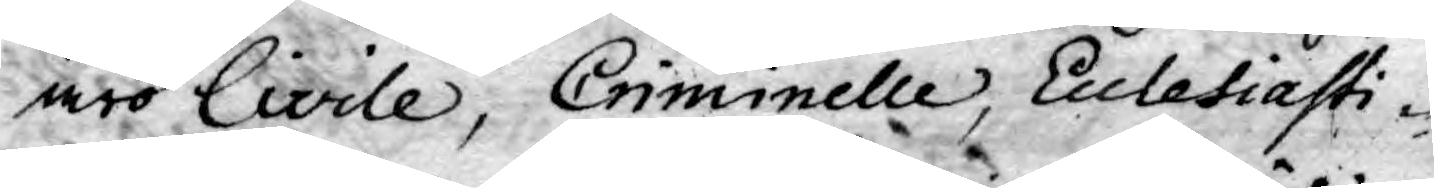äro Civile, Criminelle, Ecclesiasti¬
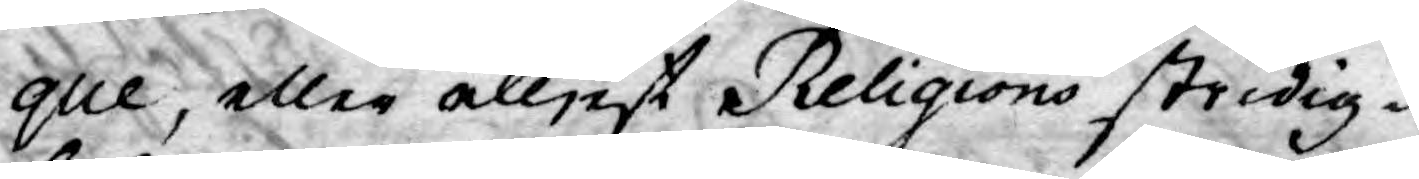que, eller elljest Religions stridig¬
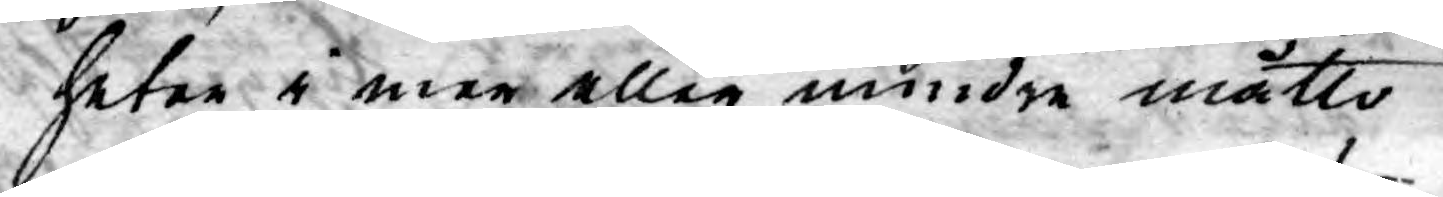heter i mer eller mindre måtto
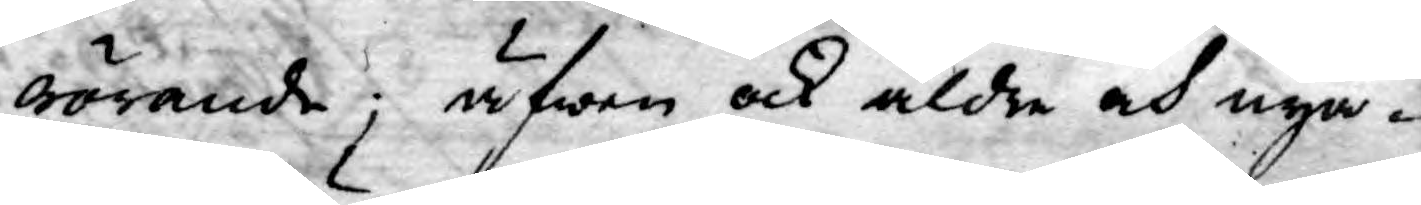rörande; äfwen ock äldre och nya¬
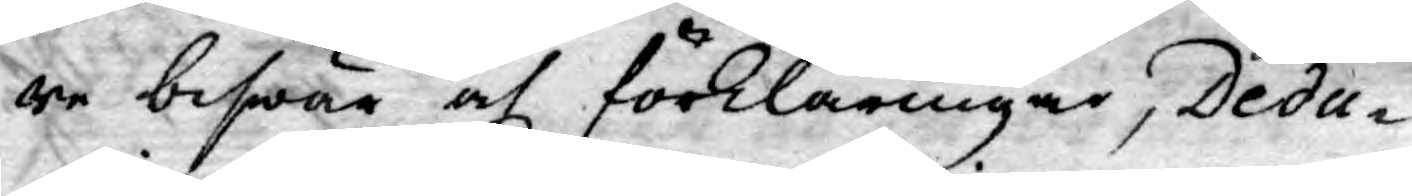re beswär af förklaringar, Dedu¬
